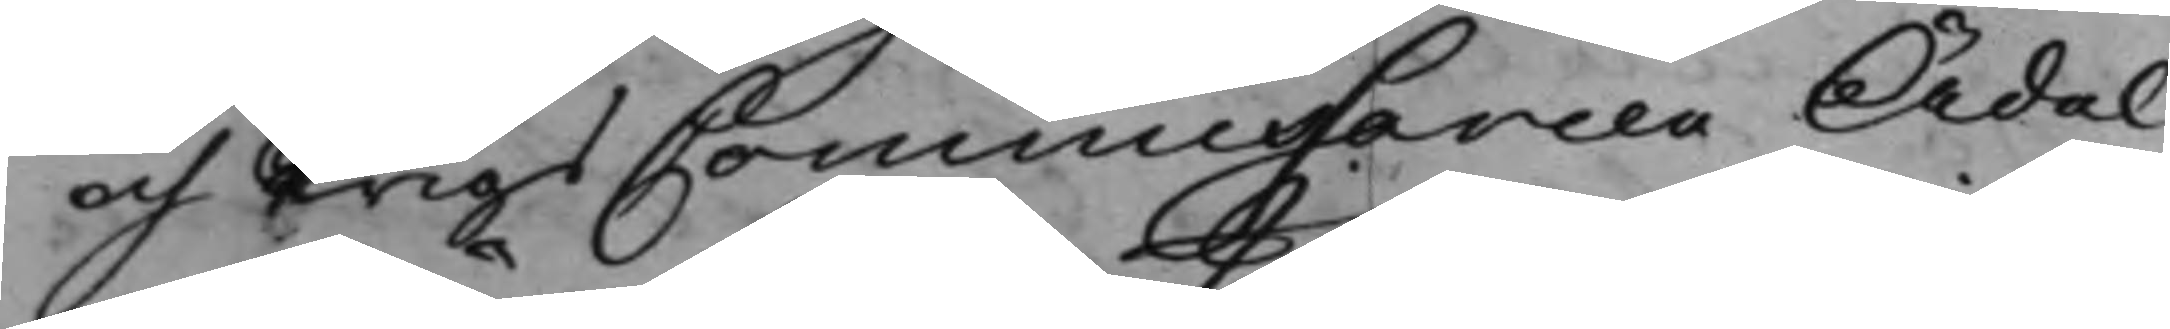och KrigsCommissarien Ädel
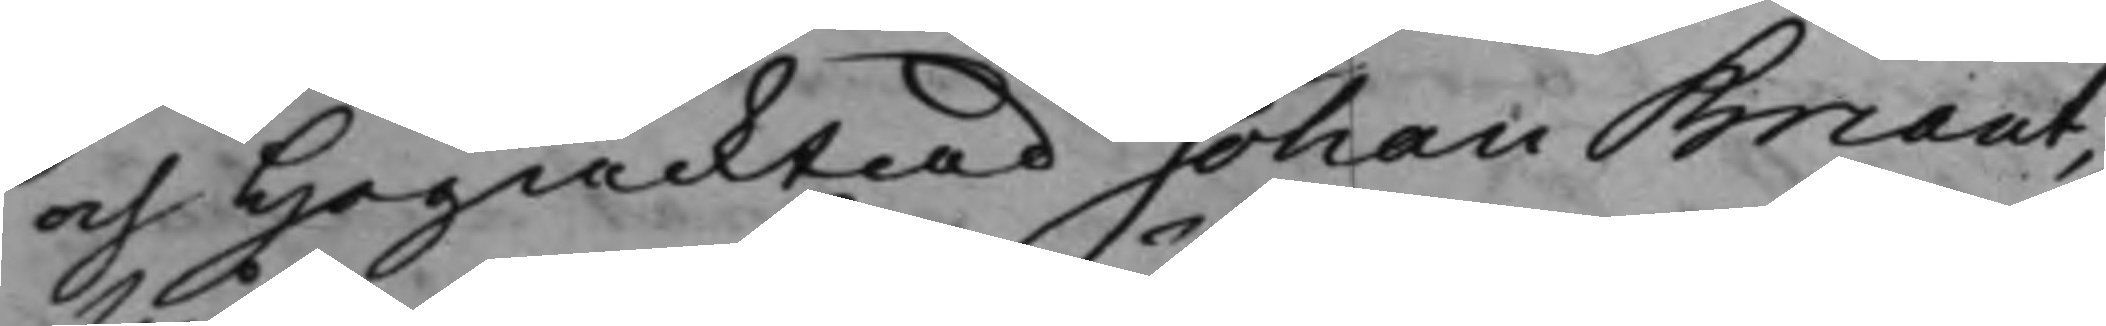och Högacktad Johan Maut¬
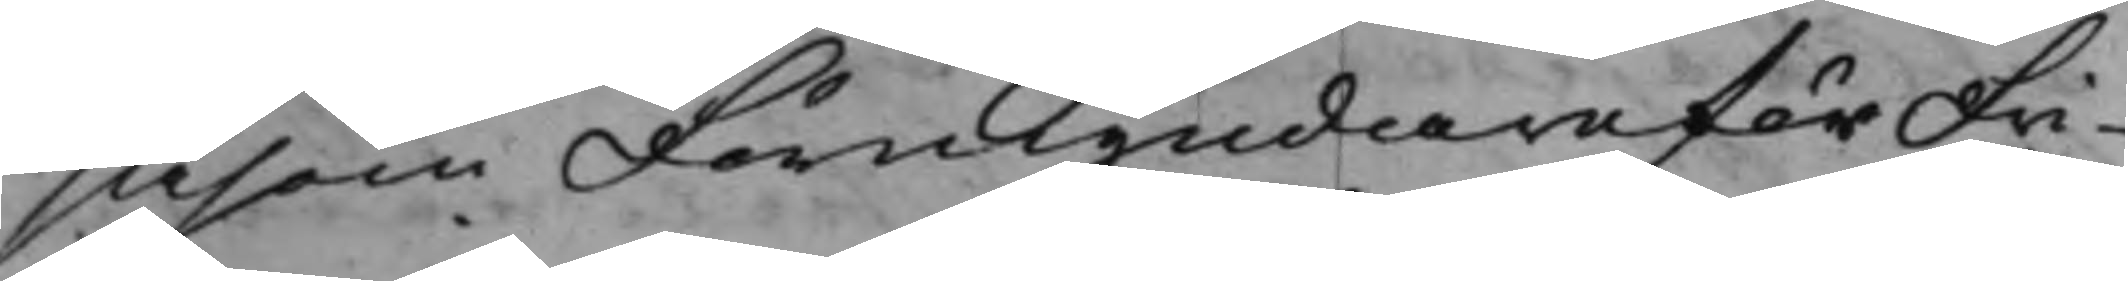såsom Förmyndare för Fri¬
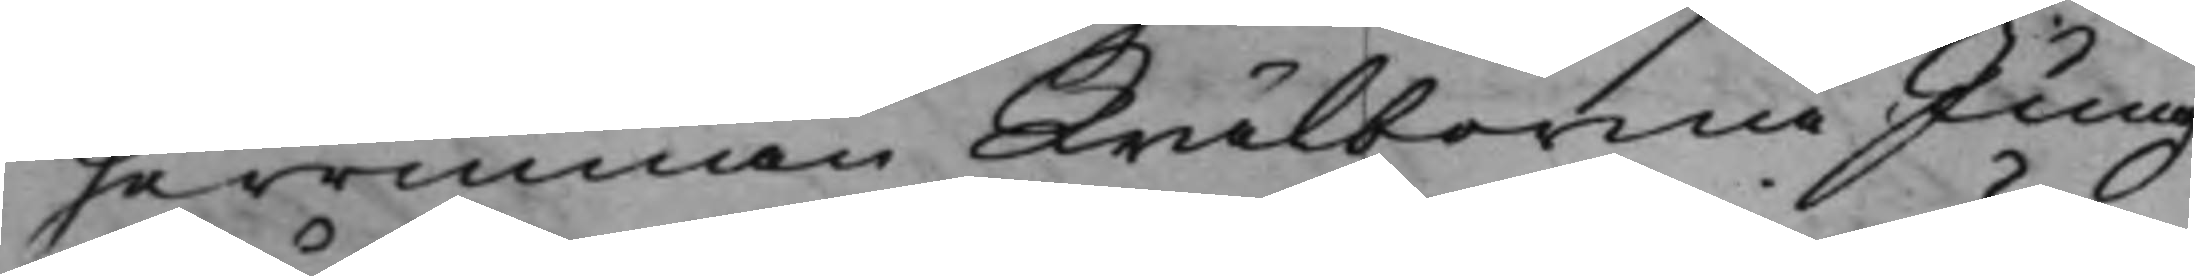herrinnan Wälborne Jung¬
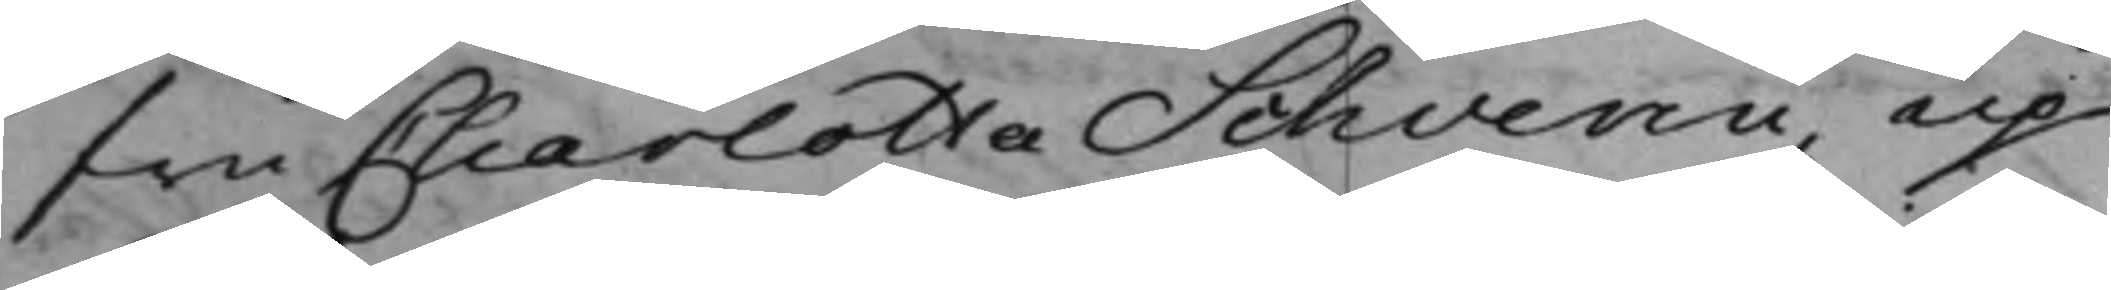Fru Charlotta Schverii, up¬
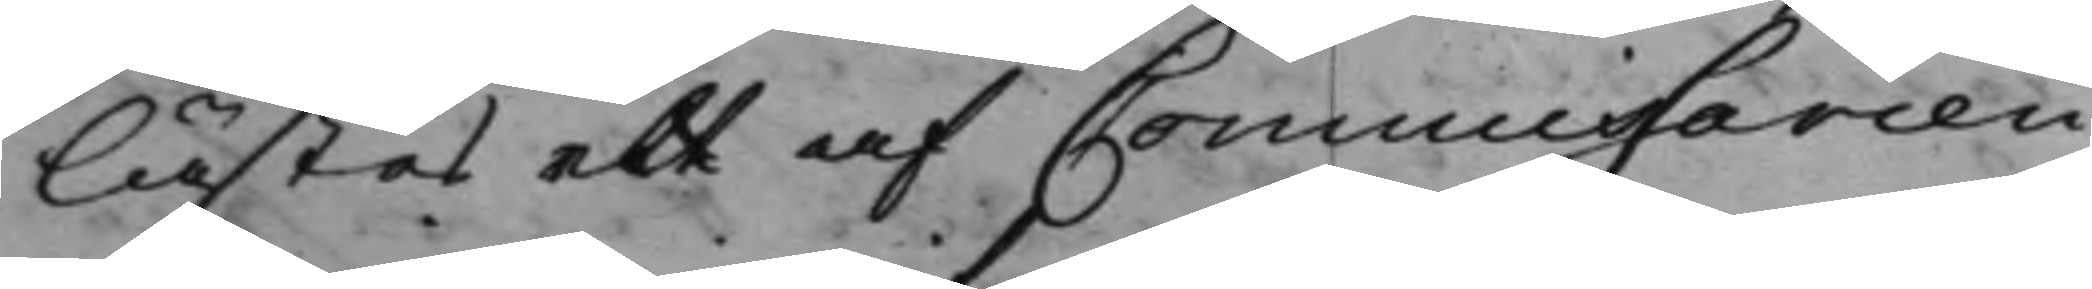lästes ett af Commissarien
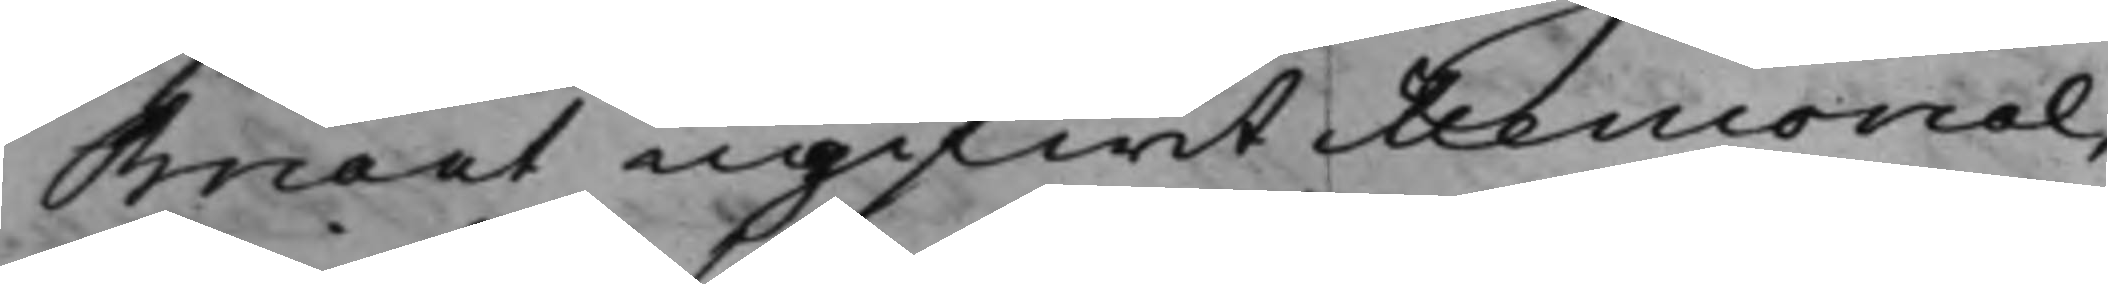mant ingifwit Memorial,
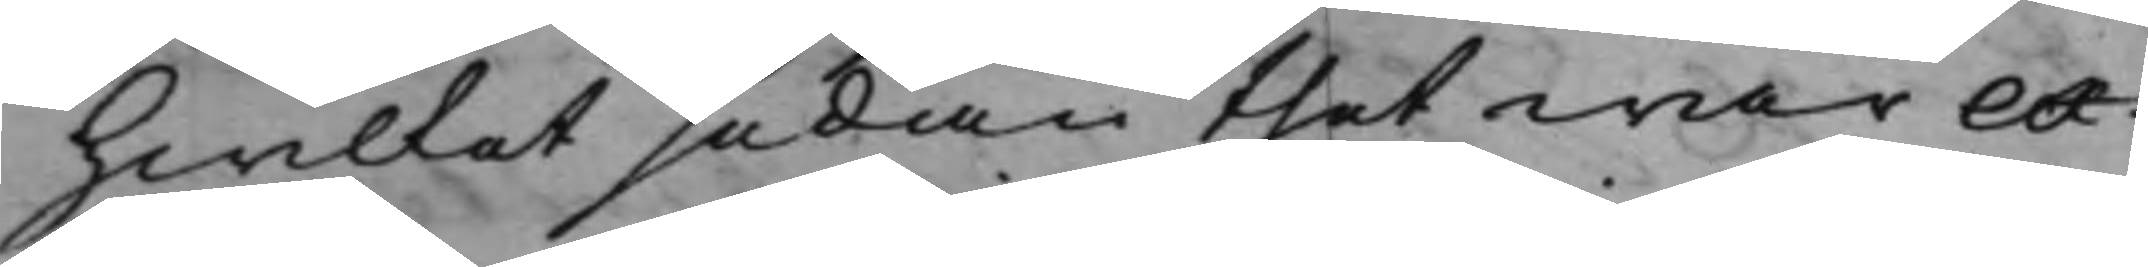hwilket sedan thet war ex¬
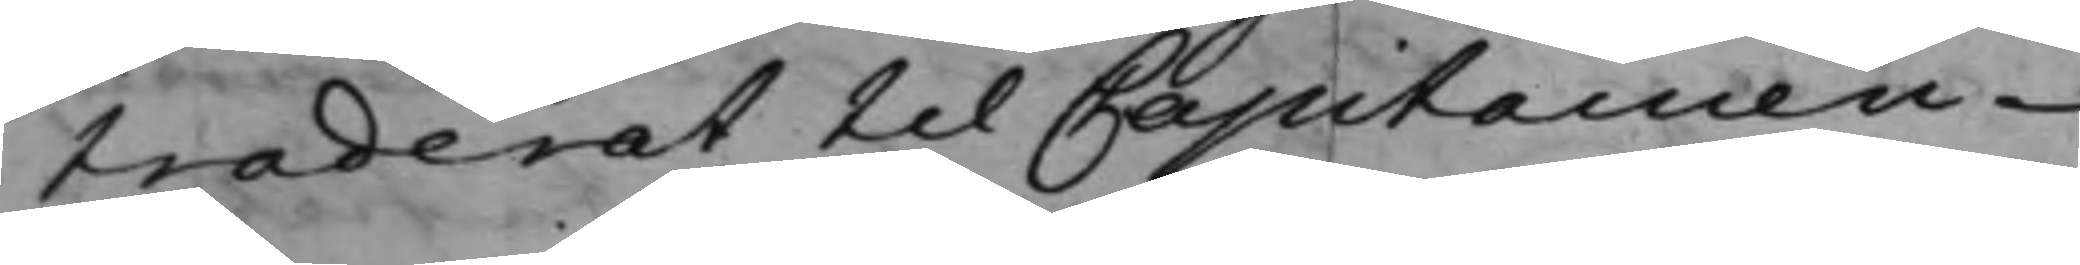traderat till Capitainen
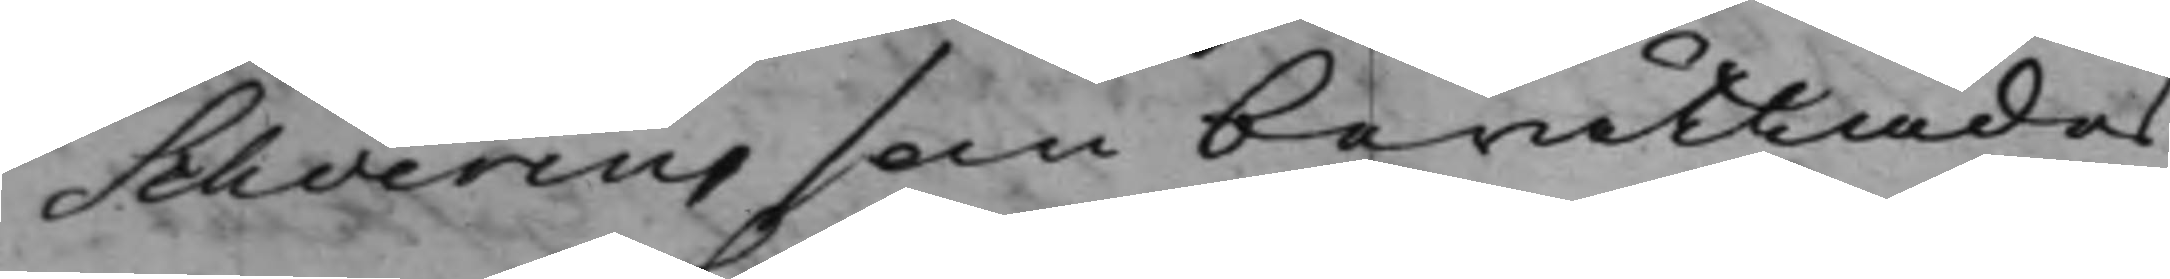Schverius som berättades
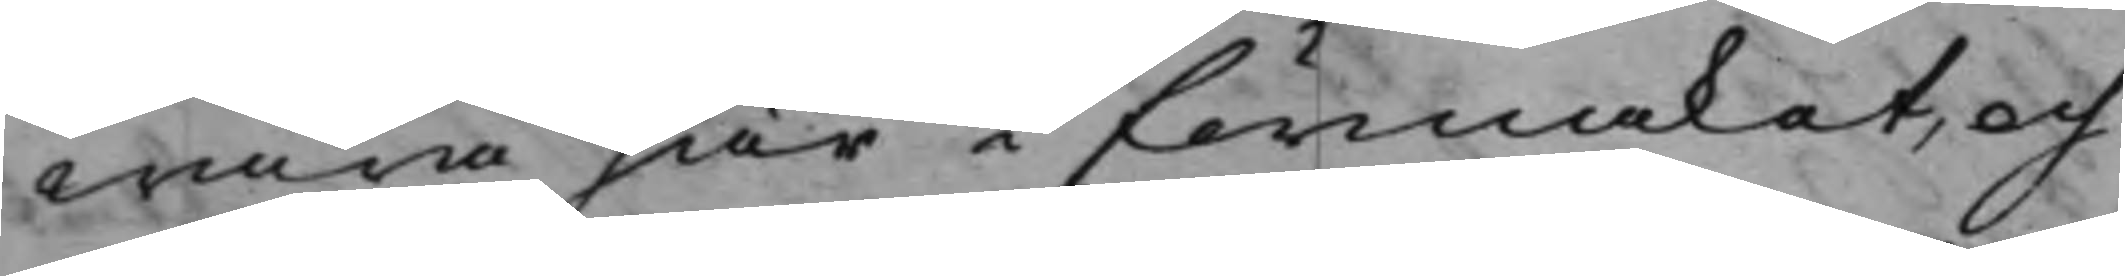wara här i förmälat, och
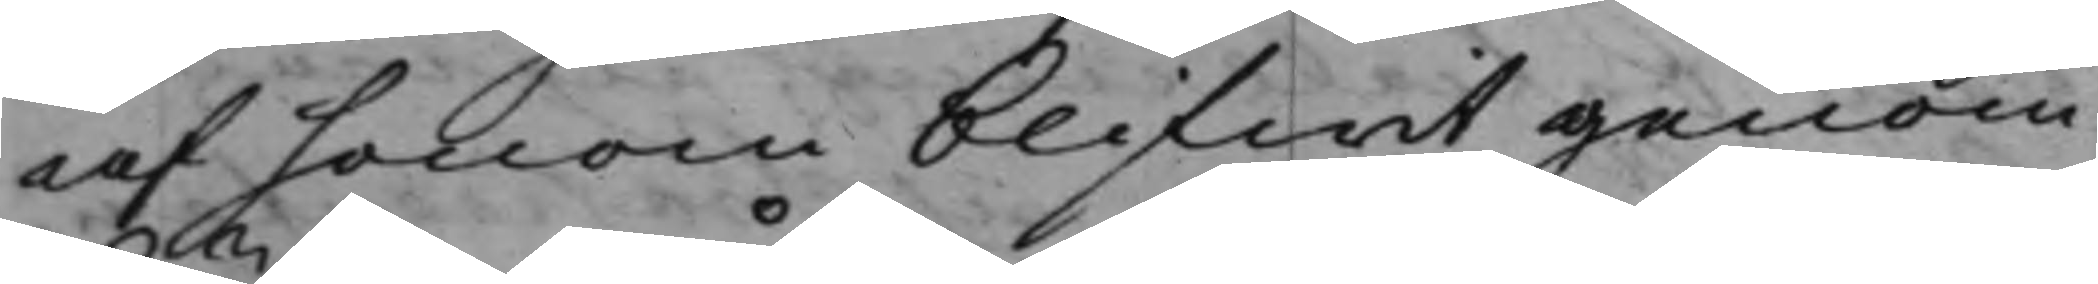af honom blifwit genom
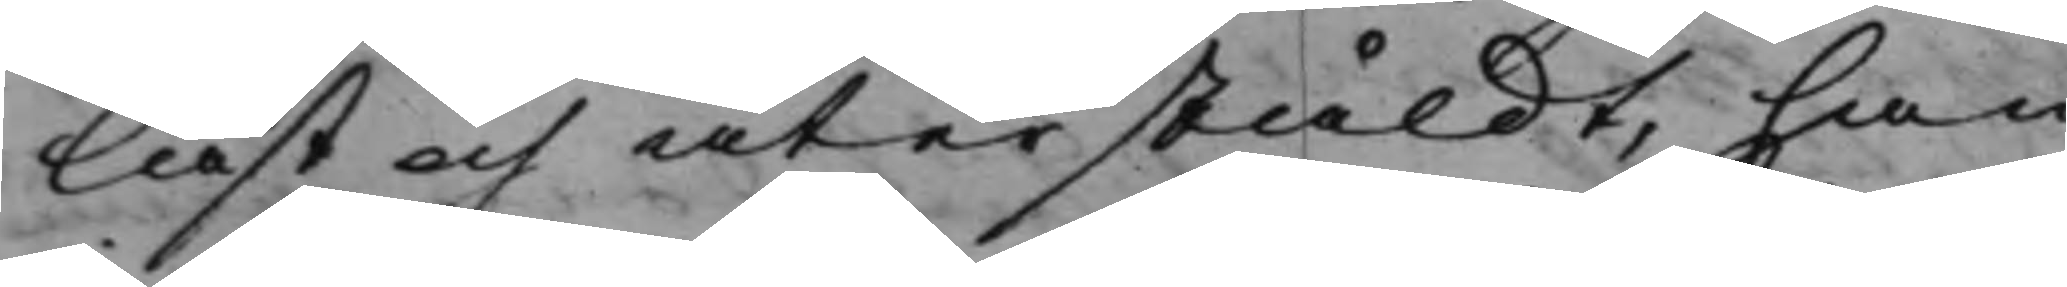läst och återstäldt, han
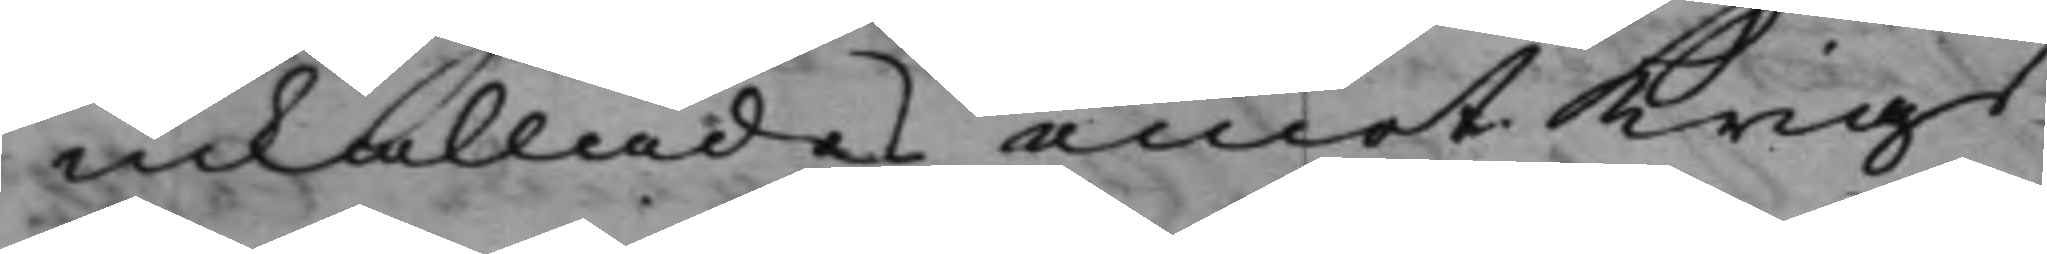inkallades emot Krigs¬
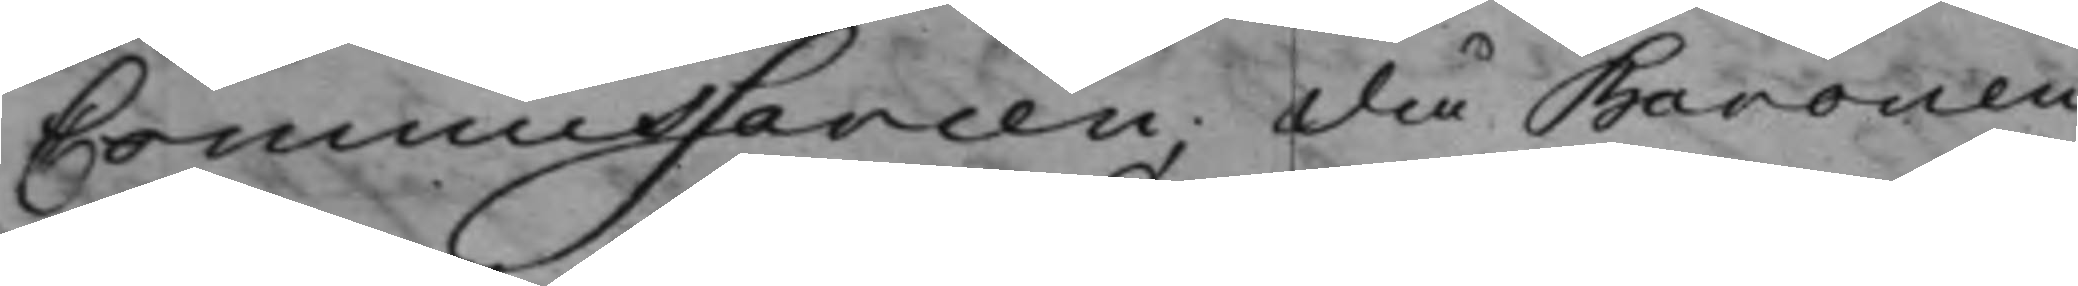Commissarien, då Baronen
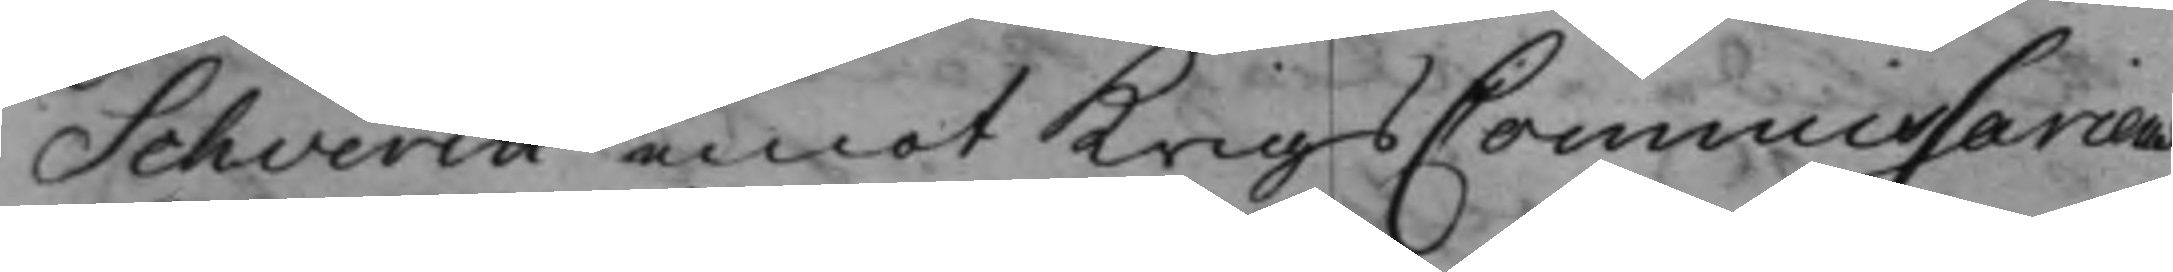Schverin emot KrigsCommissariens
